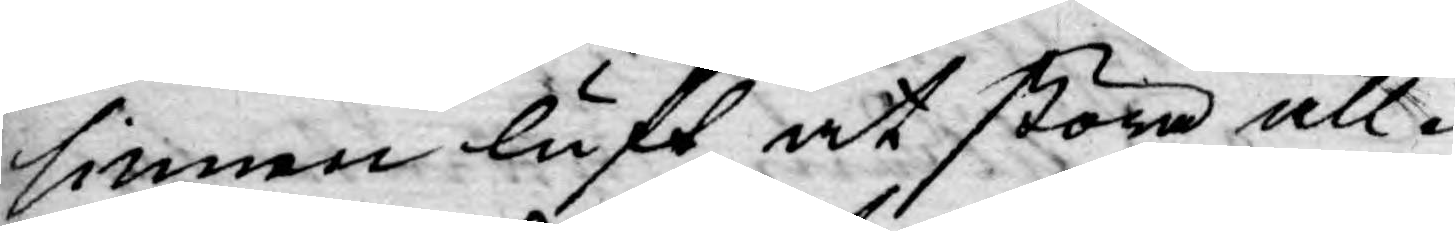sinnen luft at störa all¬
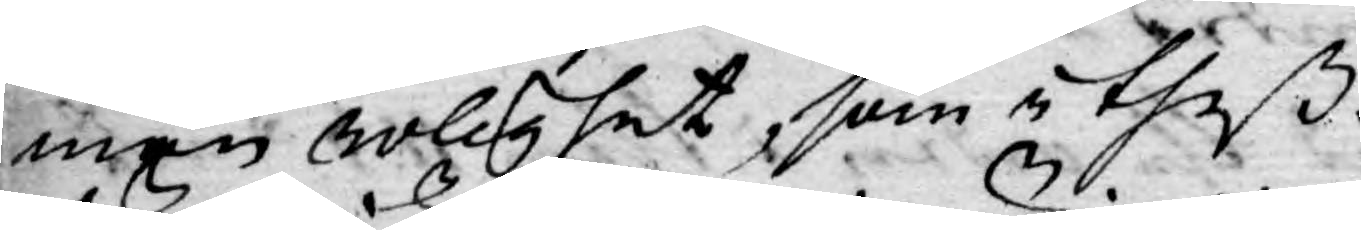män rolighet, som i theß
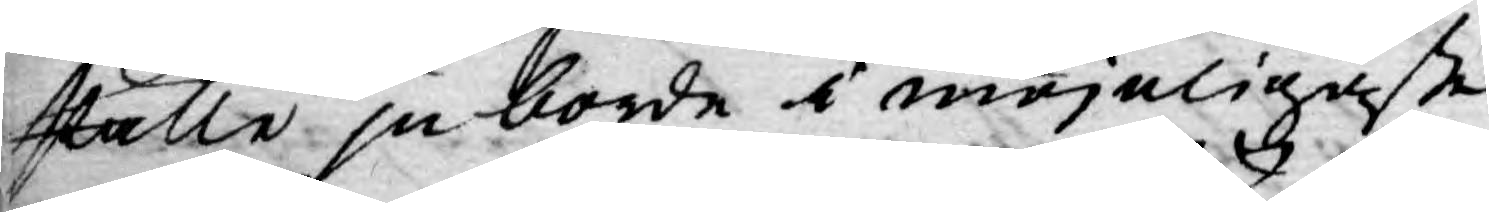ställe ju borde i möjeligaste
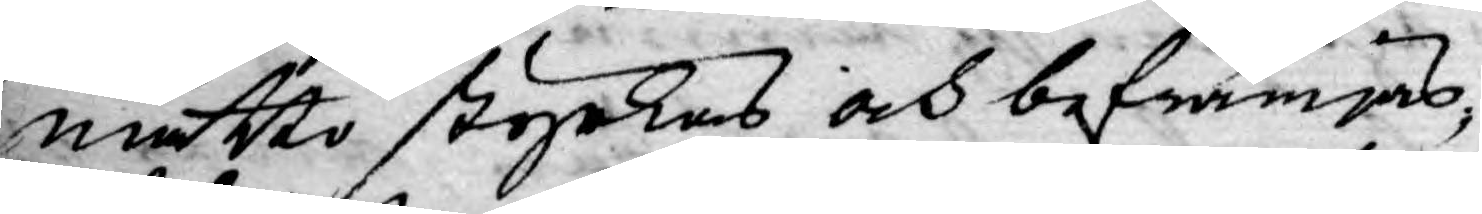måtto styrkas och befrämjas,
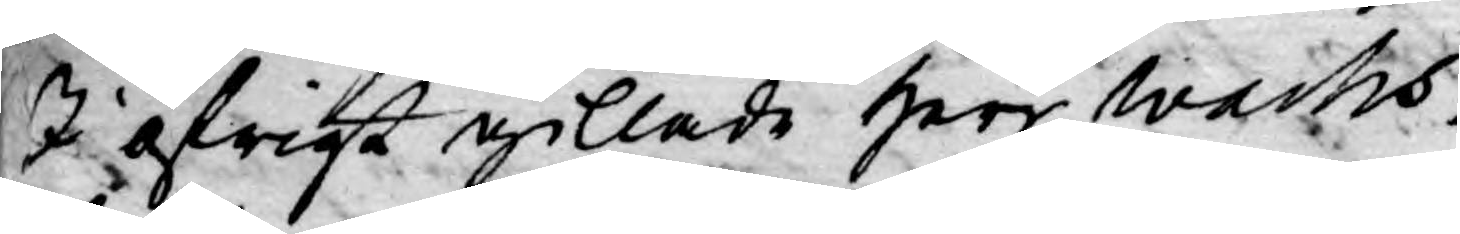I öfrigt gillade Herr Wachs¬
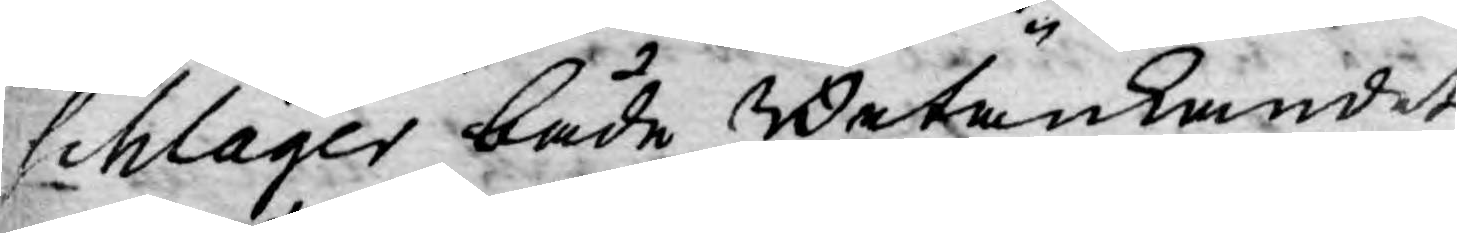schlager både Betänkandet
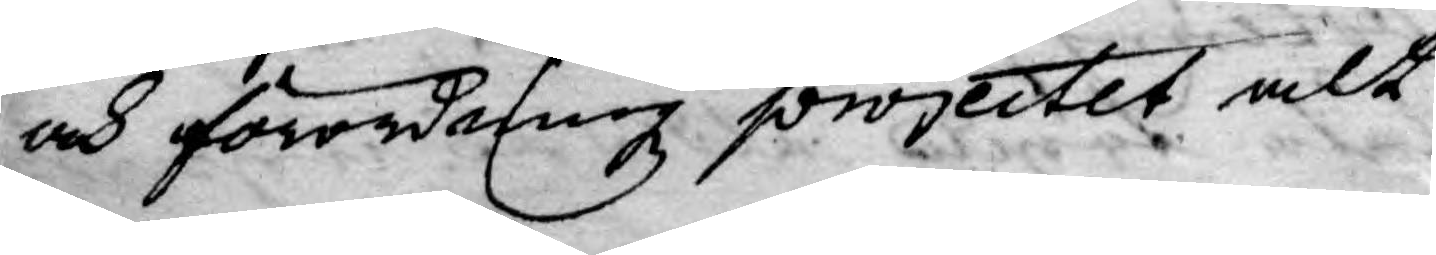och förordningz projectet alt
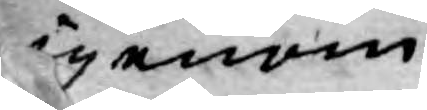igenom.
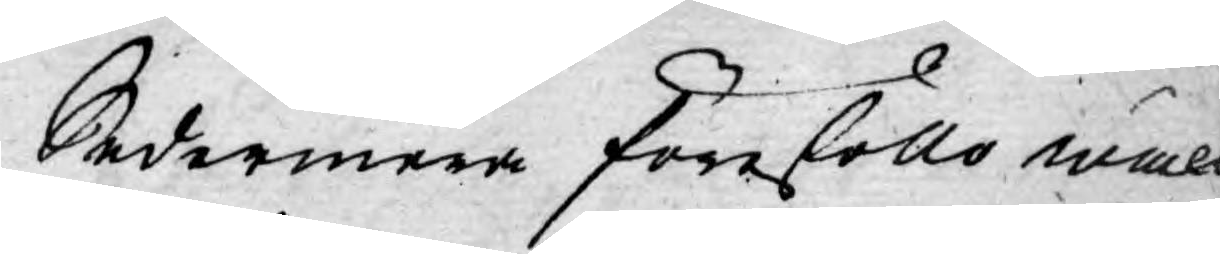Sedermera föreföllo wäl
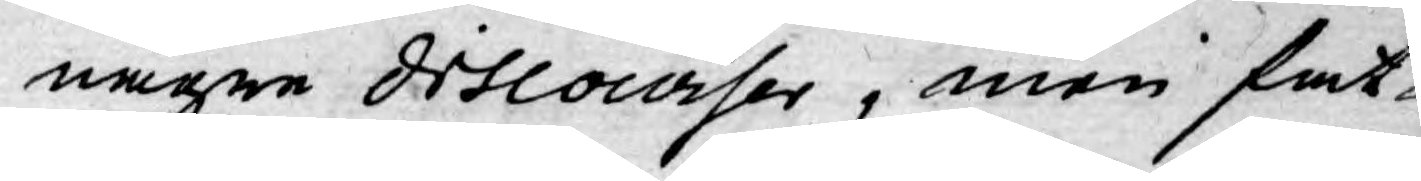någre discourser, men fat-
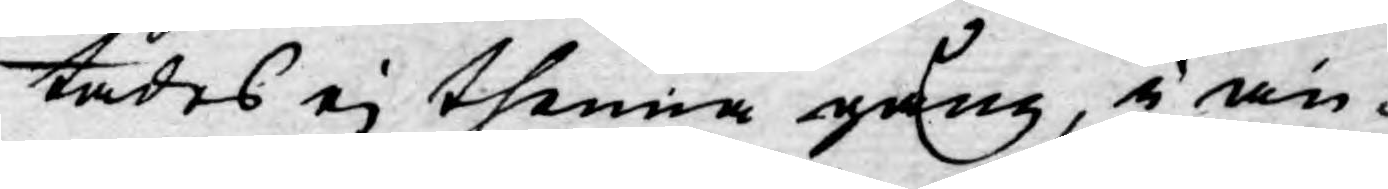tades ej thenna gång, i an¬
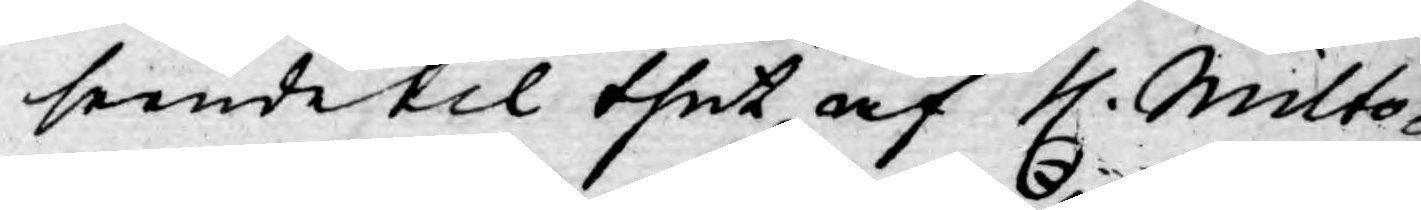seende til thet af H. Milto-
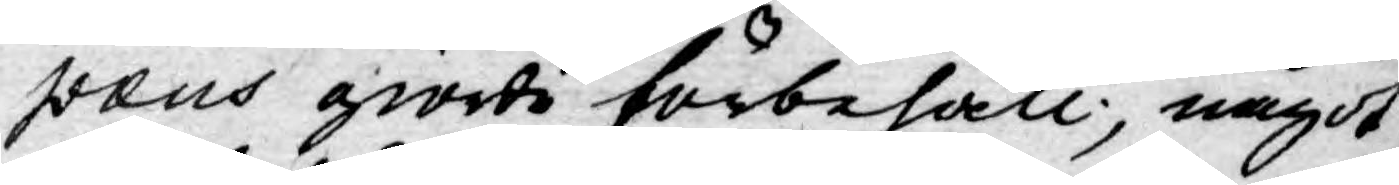pæus giorda förbehåll, något
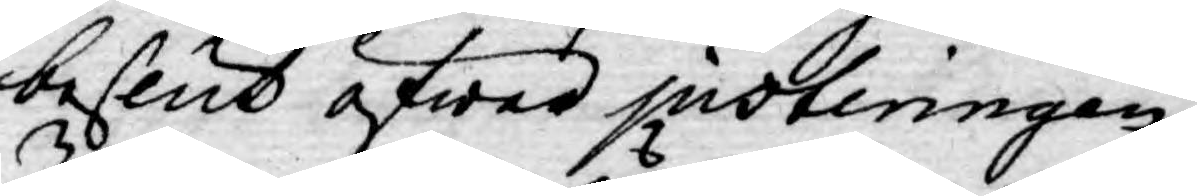beslut öfwer justeringen,
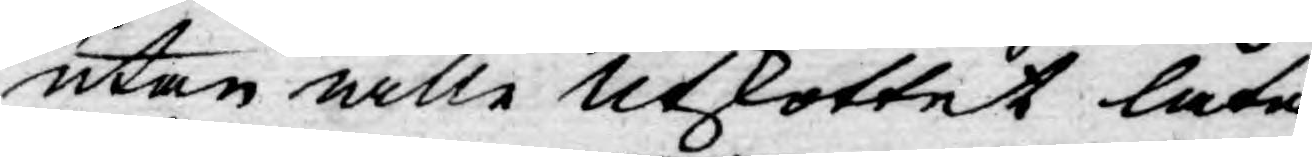utan wille Utskottet låta
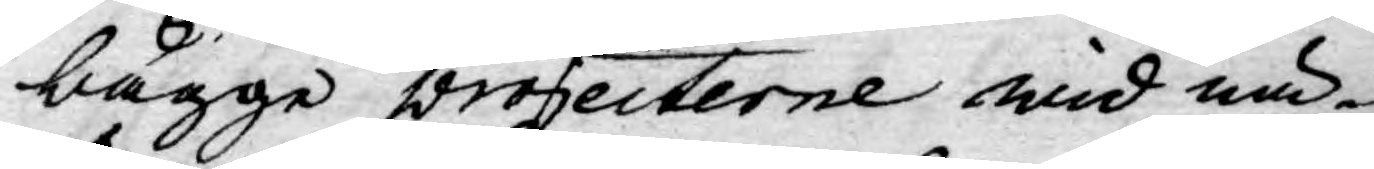bägge projecterne wid nä-
